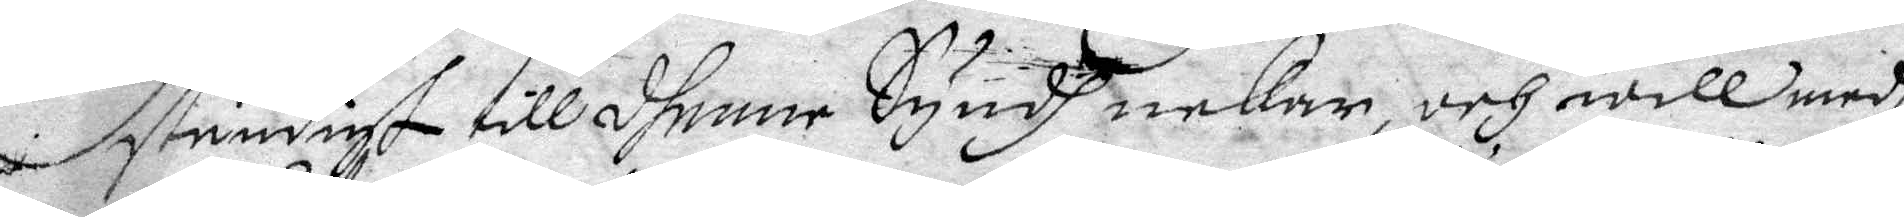ständigt till dhenne Syndh nekar, och will medh
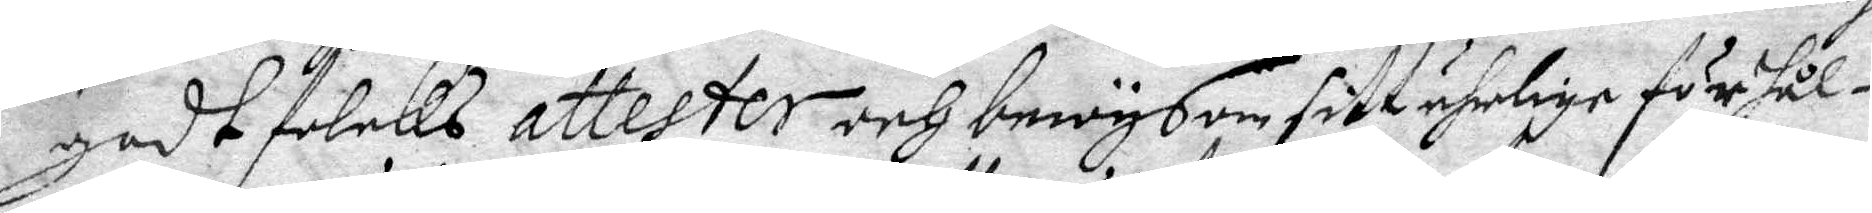godt folcks attester och bewys om sitt ährlige förhål¬
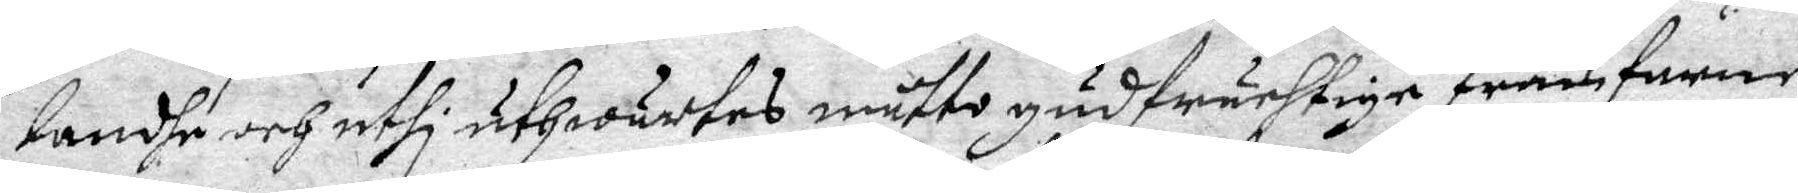lande och uthi uthwärtes måtto gudfruchtlige framfarne
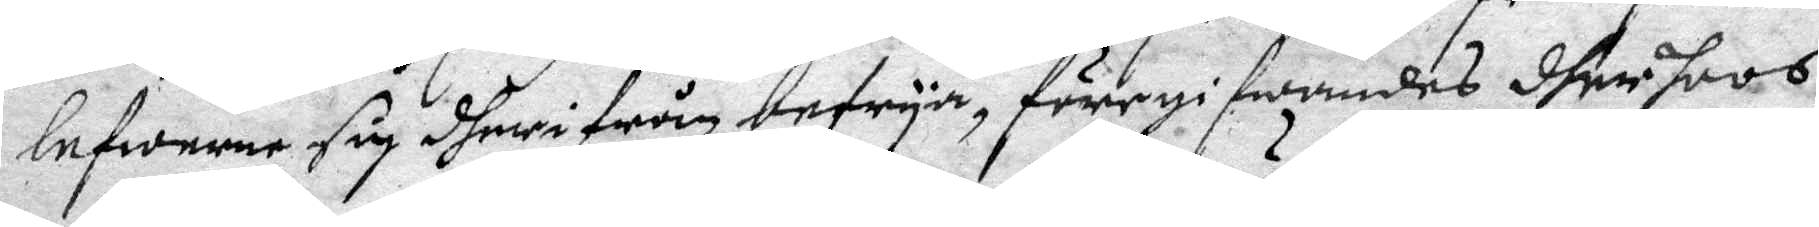lefwerne sig dherifrån befrya, föregifwandes dher hoos
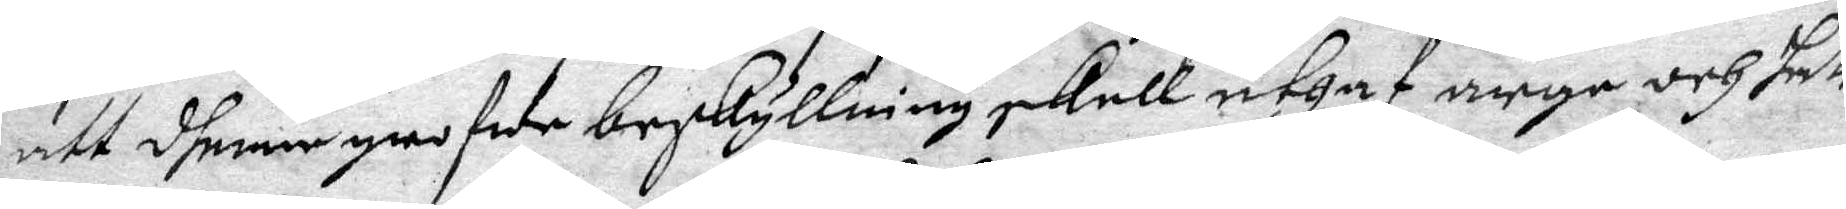att dhenne grofwe beskyllning skull uthaf arge och hate¬
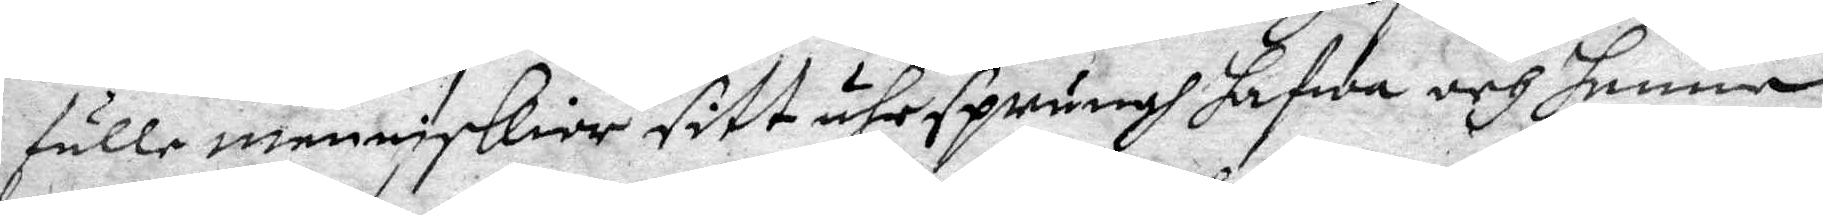fulle menniskior sitt uhrsprungh hafwa och henne
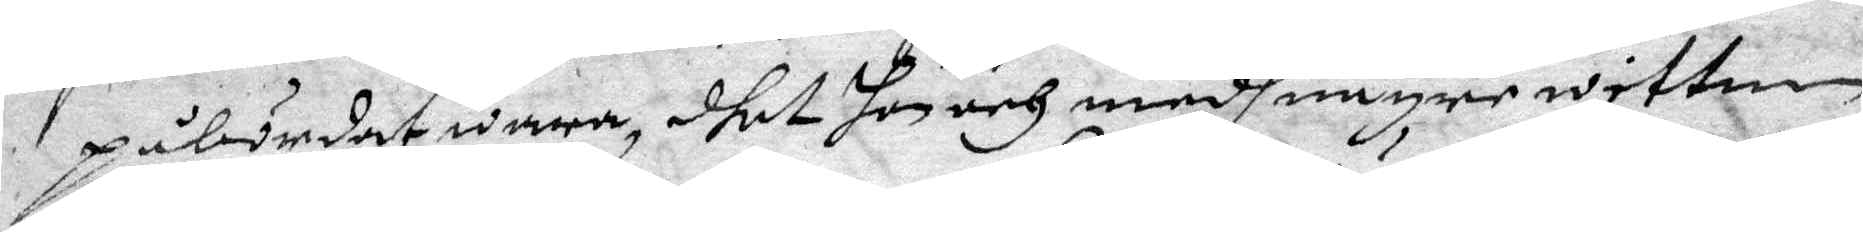påbördat wara, dhet hon och medh någre wittnen
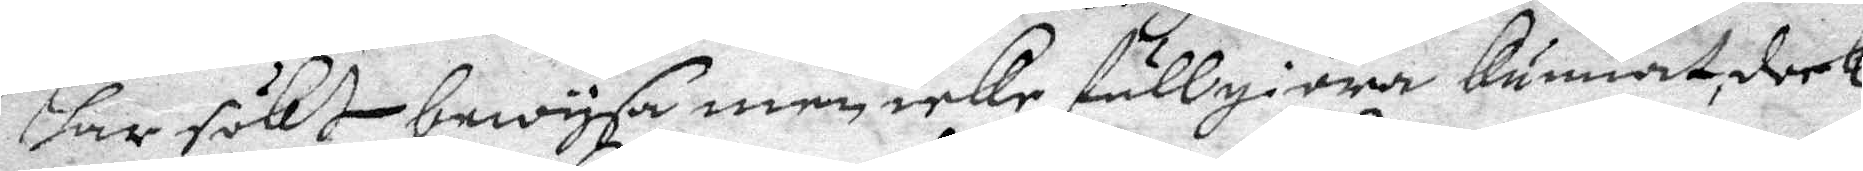har sökt bewysa men icke fullgiöra kunnat, dock
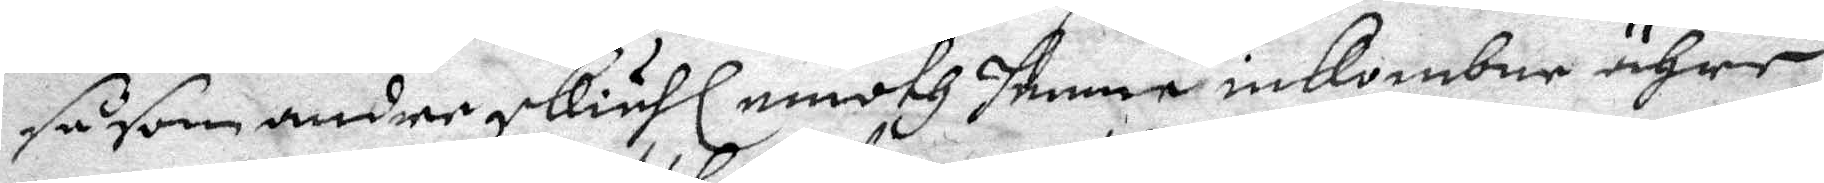såsom andre skiähl emoth henne inkombne ähre,
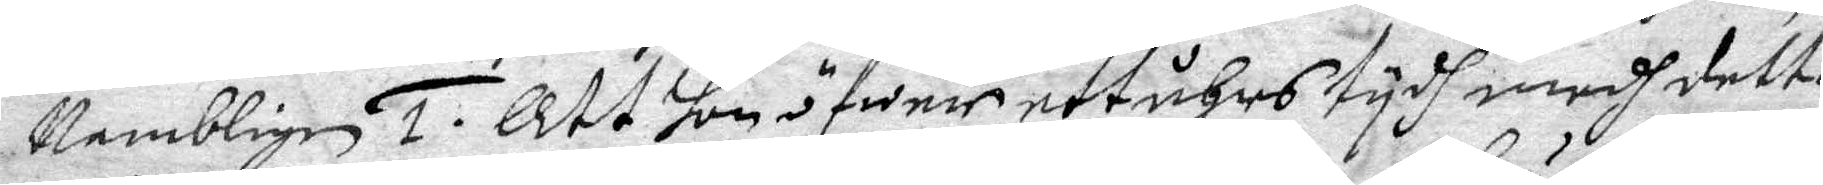Nembligen 1. Att hon öfwer ett åhrs tydh medh detta
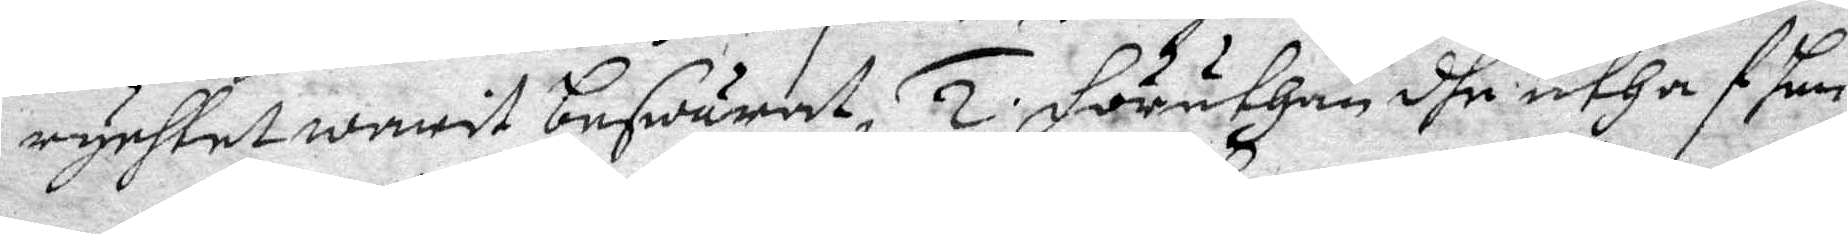rychtet warit beswärat. 2. Föruthan dhe uthaf hen¬
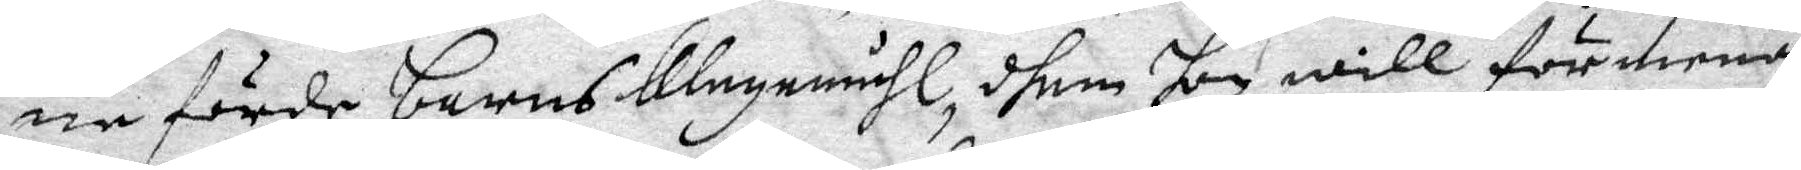ne förde barns klagomåhl, dhem hon will förmena
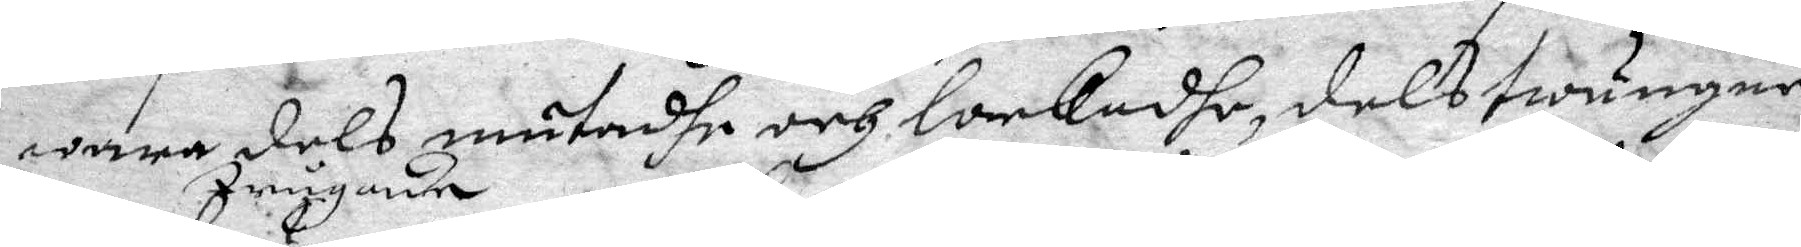wara dels mutadhe och lockadhe, dels twungne
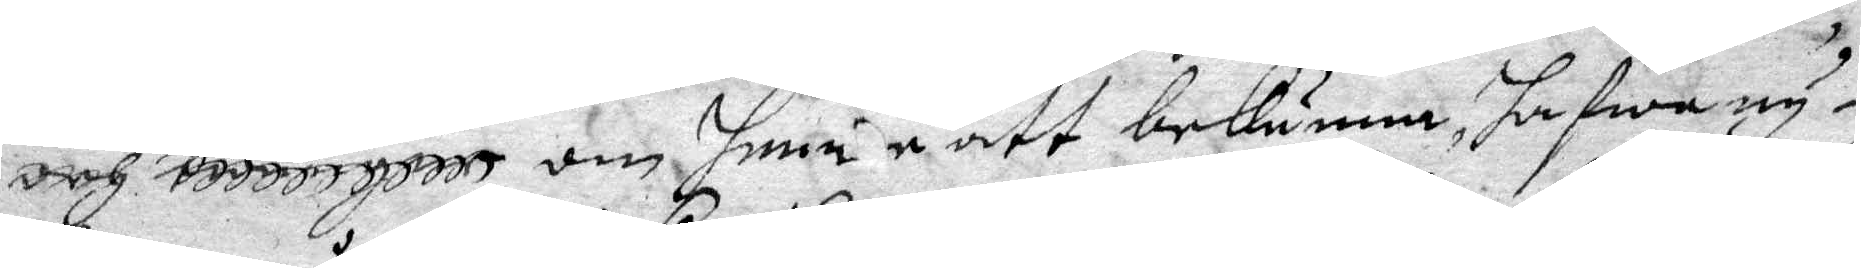och trugade om henne att bekänna, hafwa ny¬
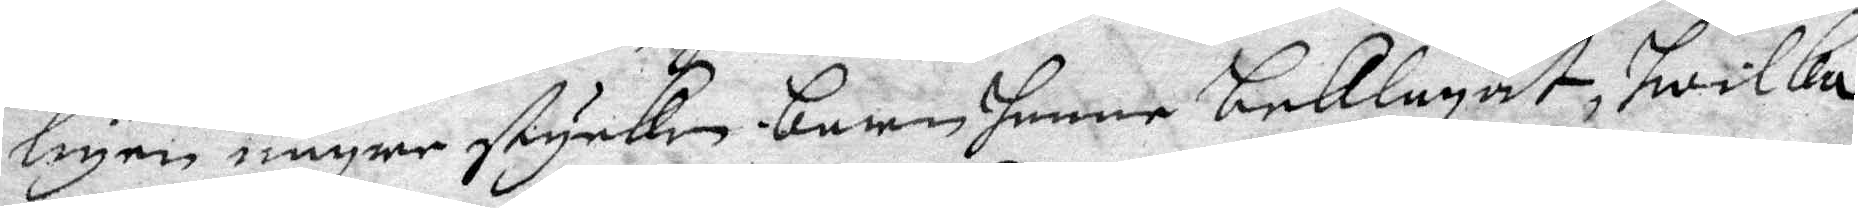ligen några stycken barn henne beklagat, hwilka
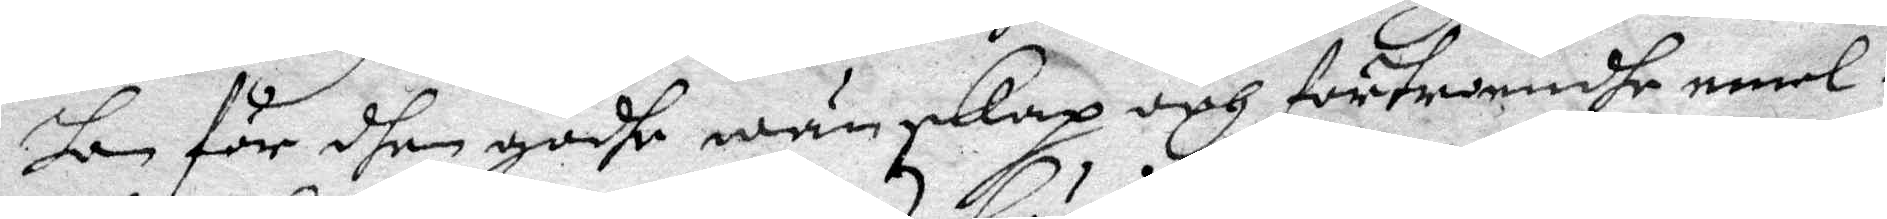hon för dhen godhe wänskap och förtroendhe emel¬
